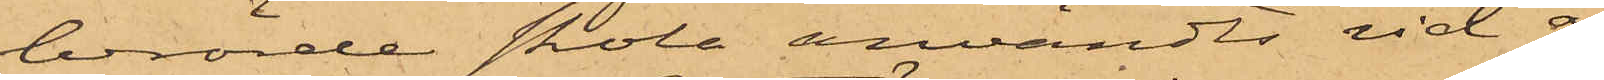berörde skola användts vid å
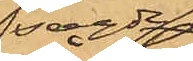sagde
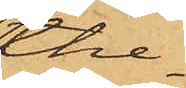the¬
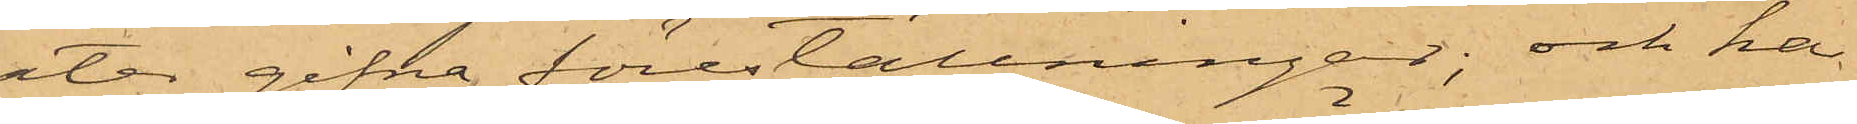ater gifna föreställningar; och ha
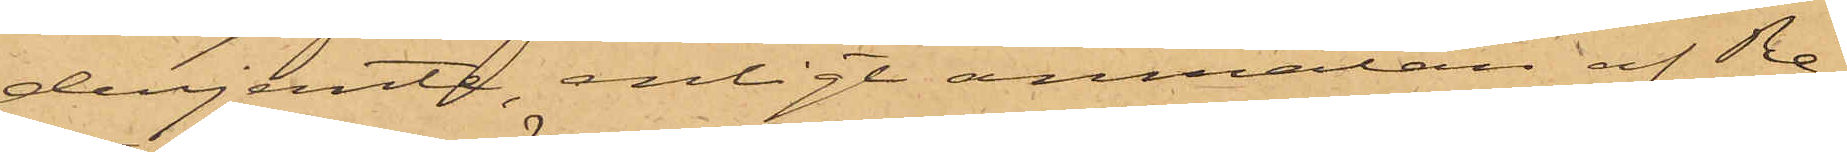derjemte, enligt anmälan af Re¬
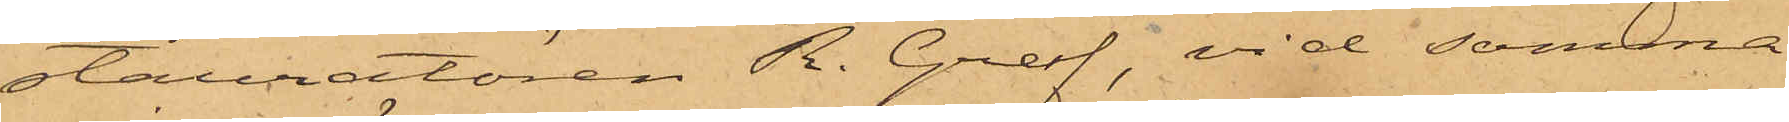stauratören R. Graf, vid samma
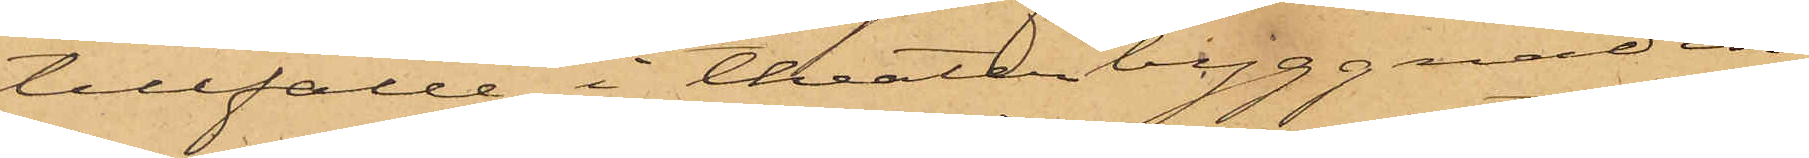tillfälle i theaterbyggnaden,
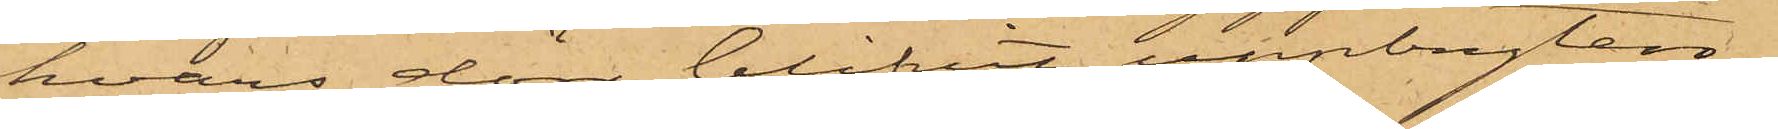hvars dörr blifvit uppbryten,
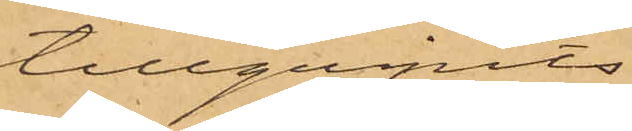tillgripits
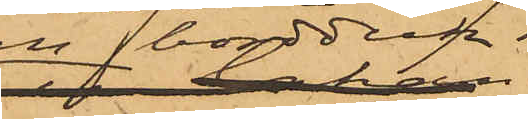en bordduk
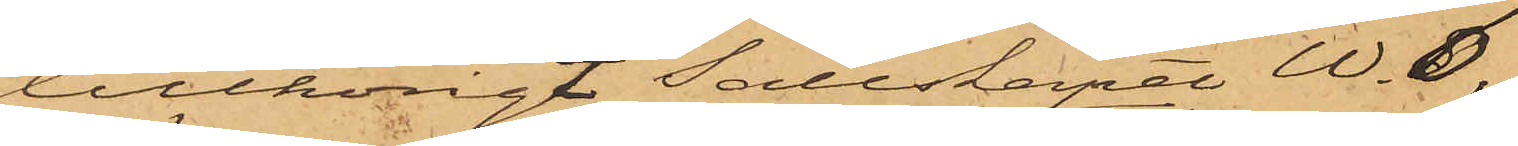tillhörigt sällskapet W. 6,
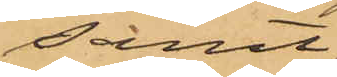samt
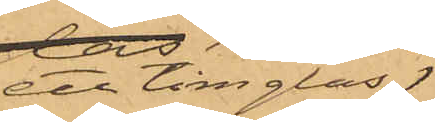ett timglas
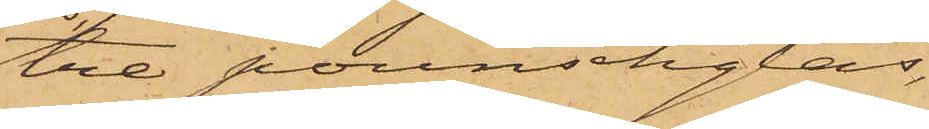tre pounschglas,
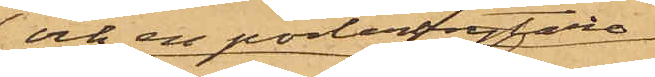och en porterbrytare
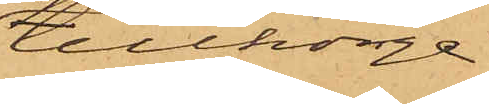tillhörige
